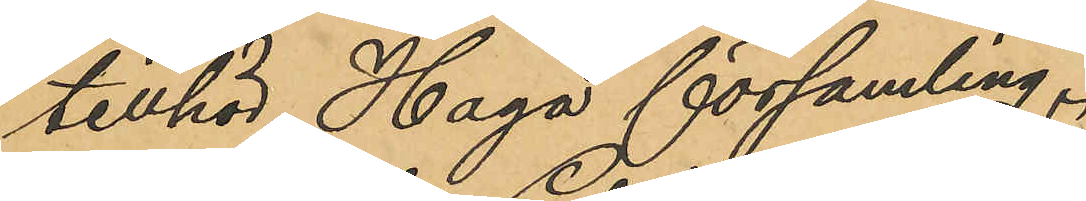tillhör Haga församling.
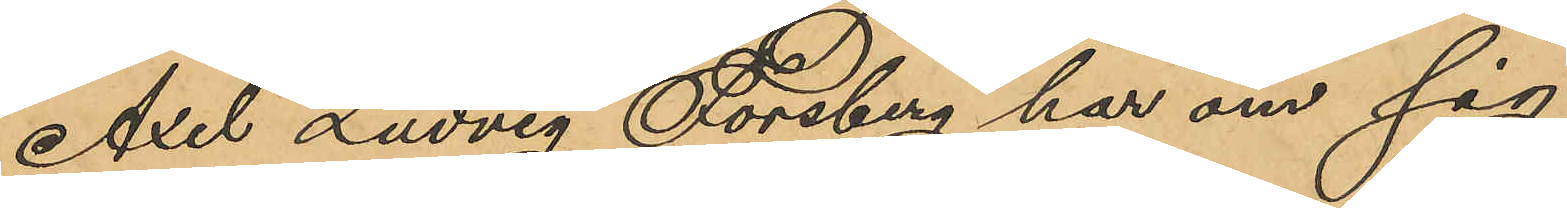Axel Ludvig Forsberg har om sig
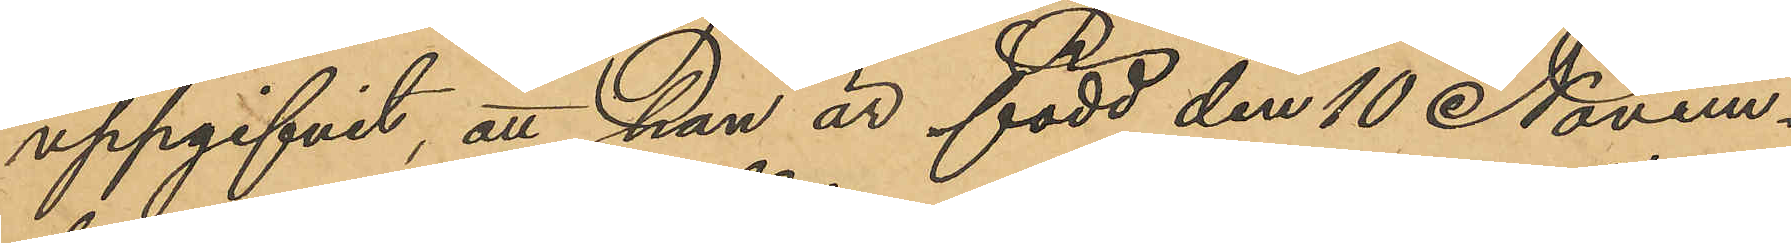uppgifvit, att han är född den 10 Novem¬
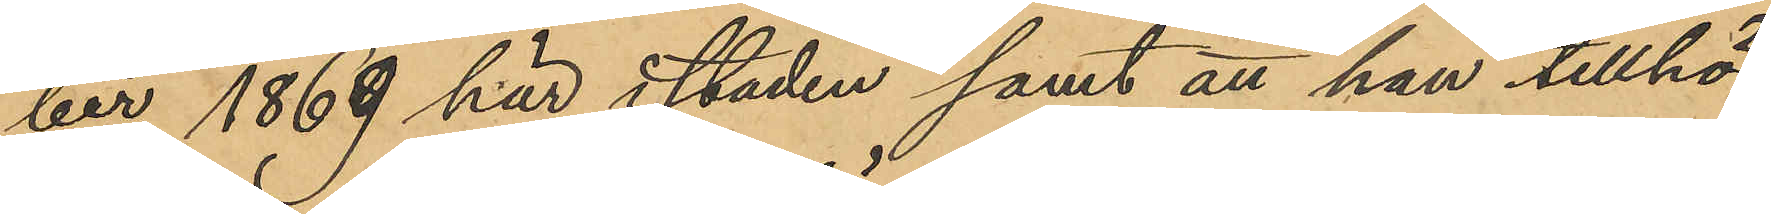ber 1869 här i staden samt att han tillhör
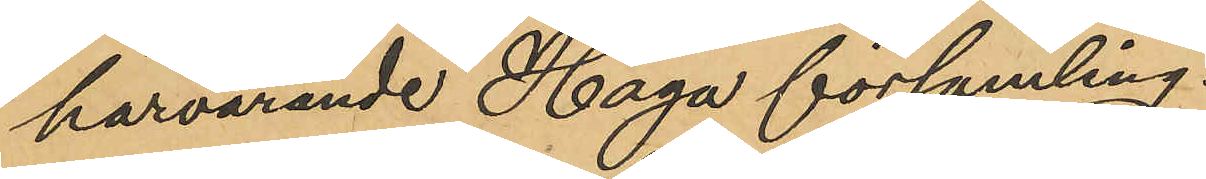härvarande Haga församling.
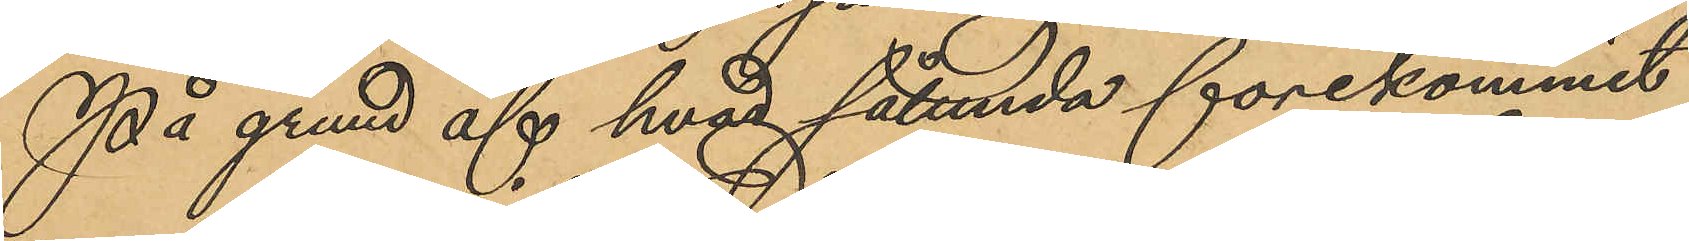På grund af hvad sålunda förekommit
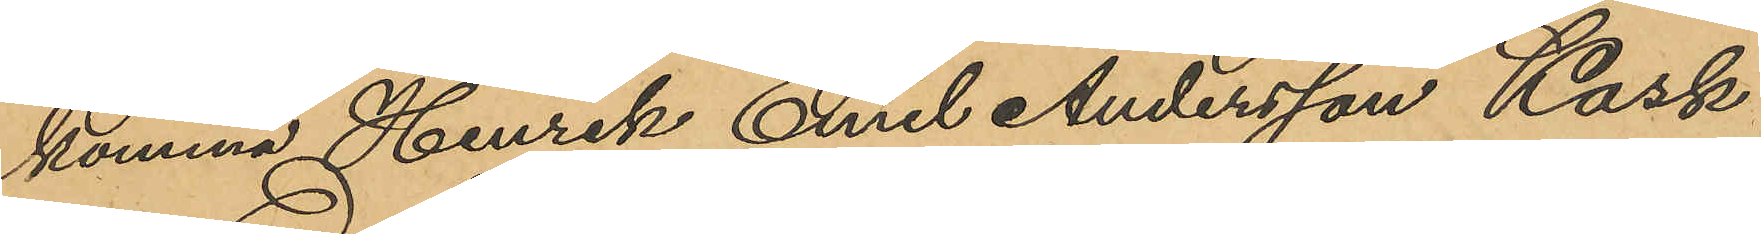komma Henrik Emil Andersson Kask
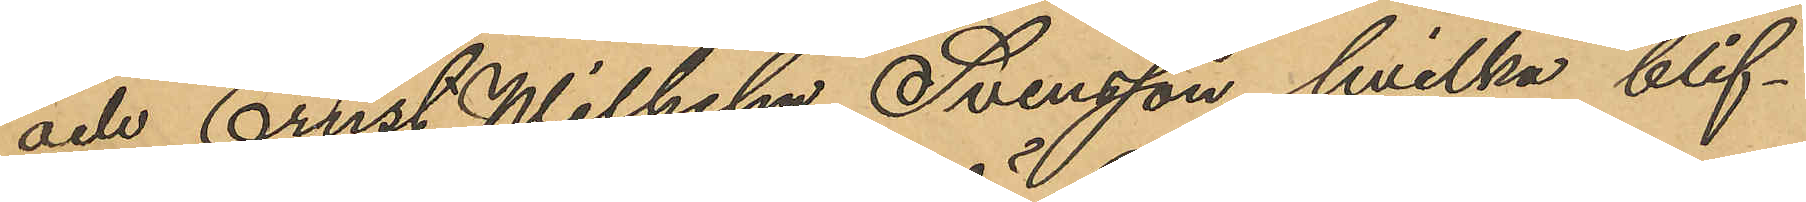och Ernst Wilhelm Svensson, hvilka blif¬
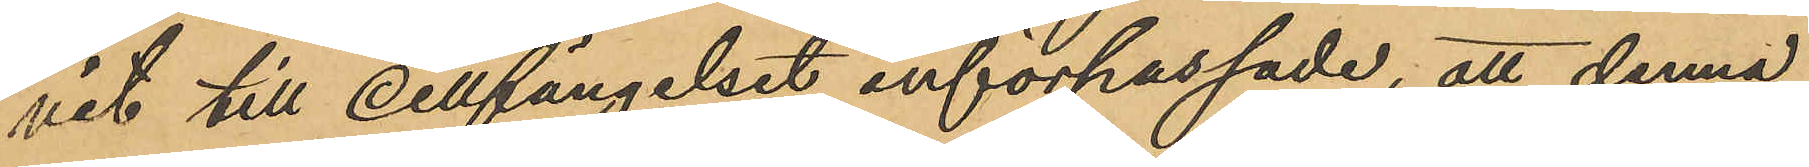vit till cellfängelset införpassade, att denna
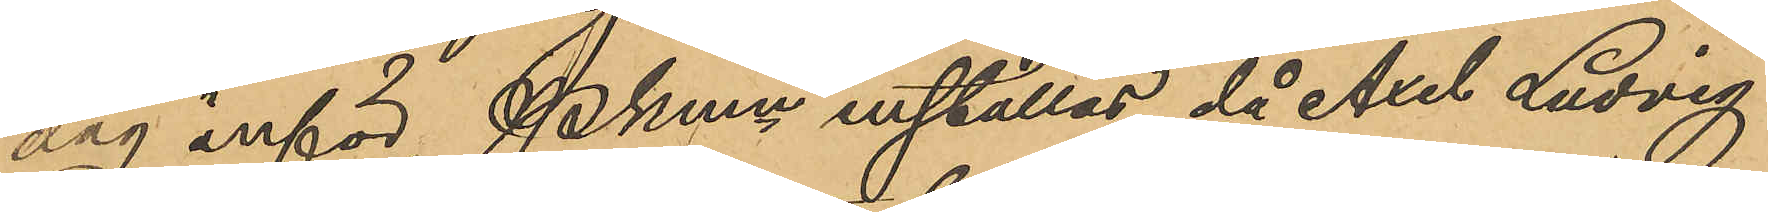dag inför Pkmn inställas, då Axel Ludvig
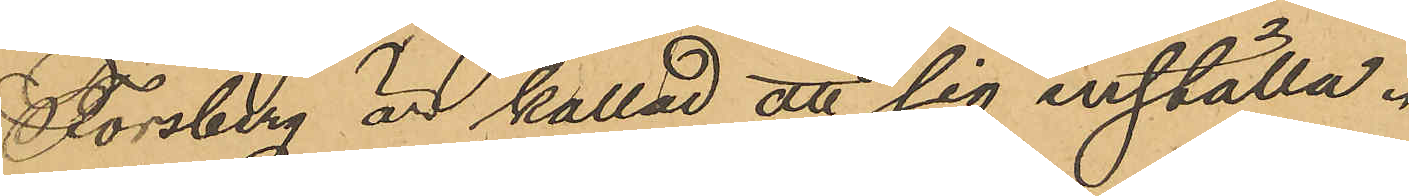Forsberg är kallad att sig inställa.
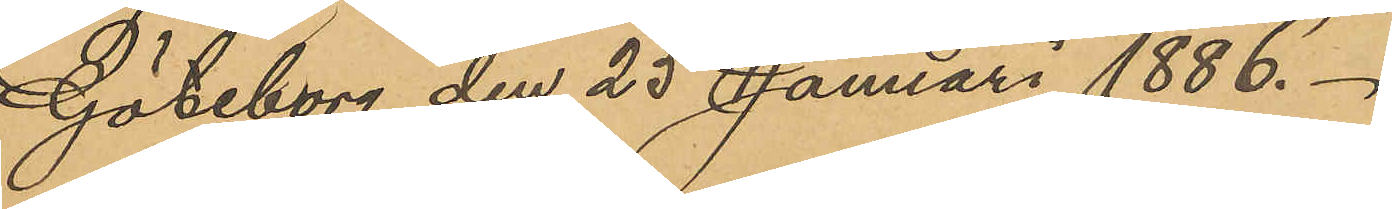Göteborg den 23 Januari 1886.
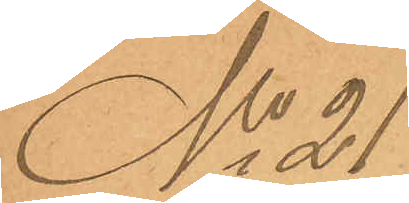No 21
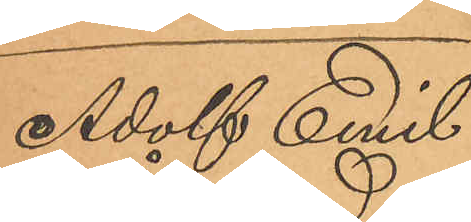Adolf Emil
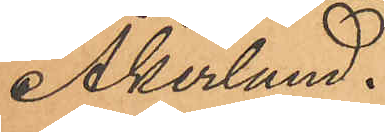Åkerlund.
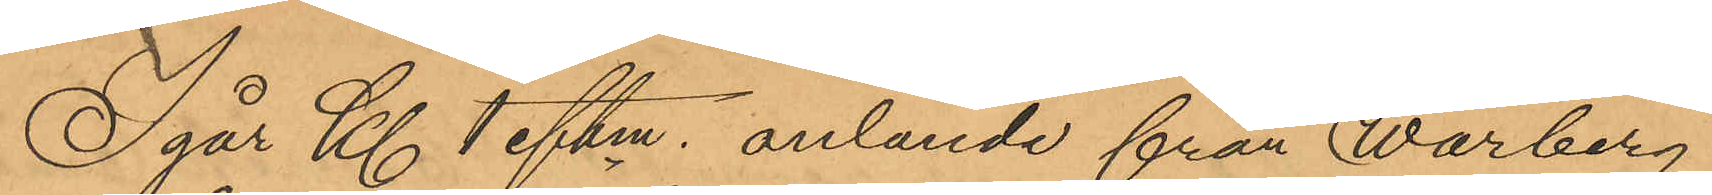Igår Kl 1 eftm. anlände från Warberg
